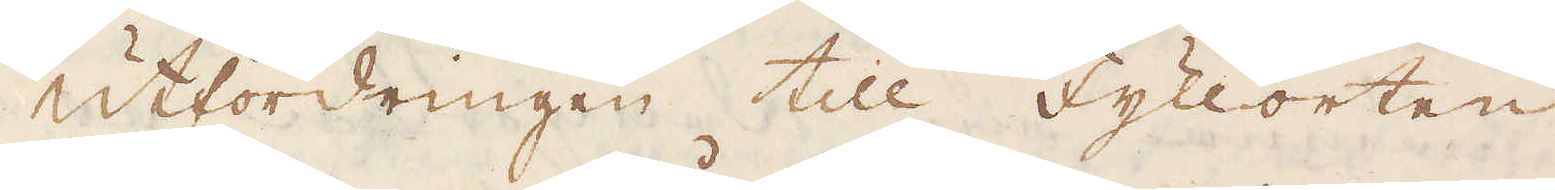Utfordringen till fyllorten
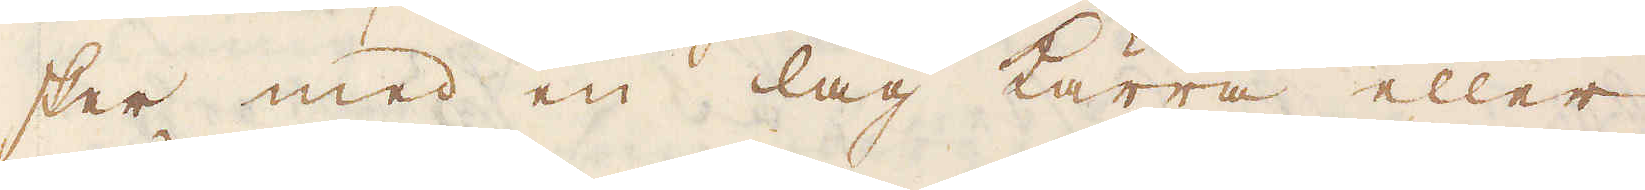sker med en lag kärra eller
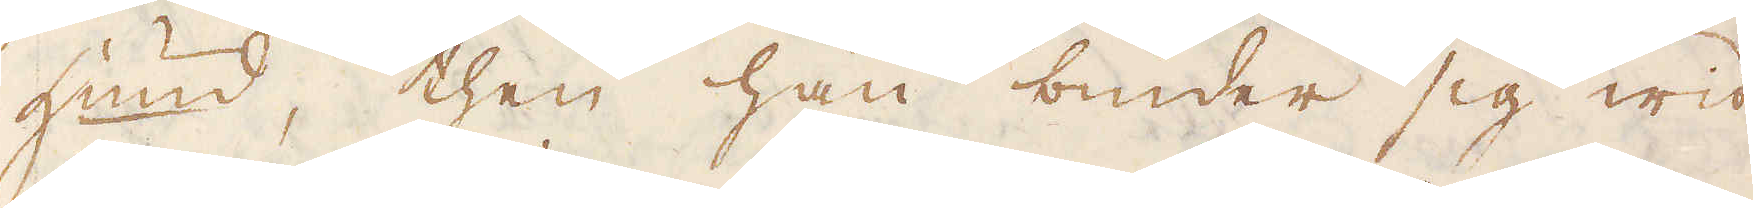Hund, then han binder sig wid
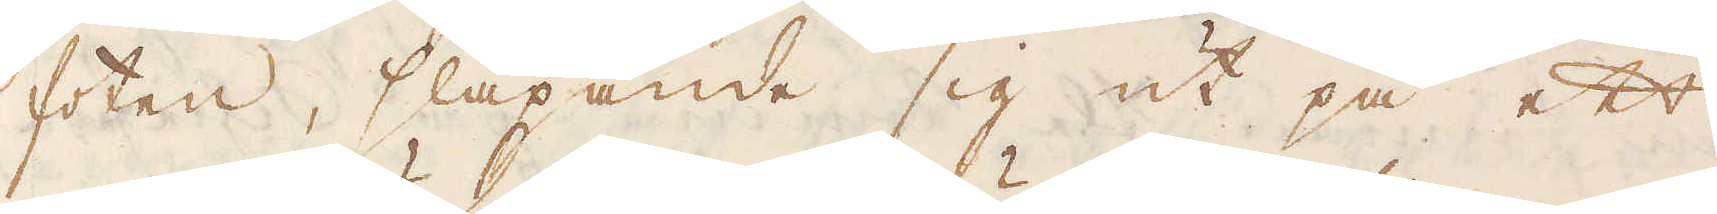foten, släpande sig ut på ett
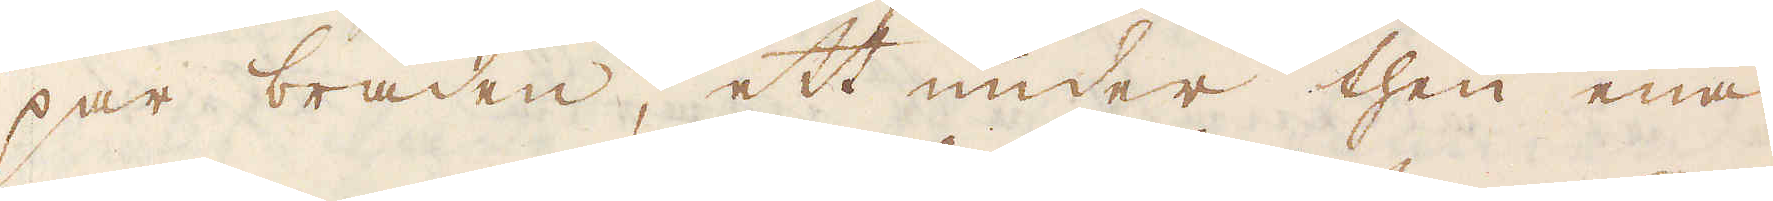par bräden, ett under then ena
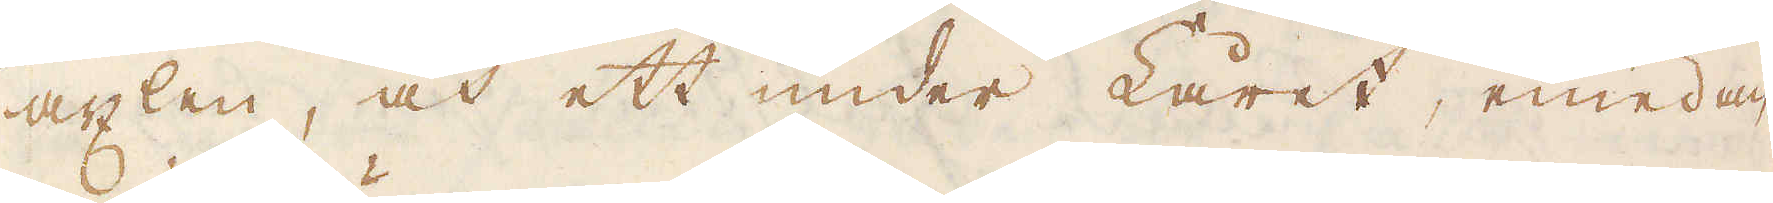axlen, och ett under Låret, emedan
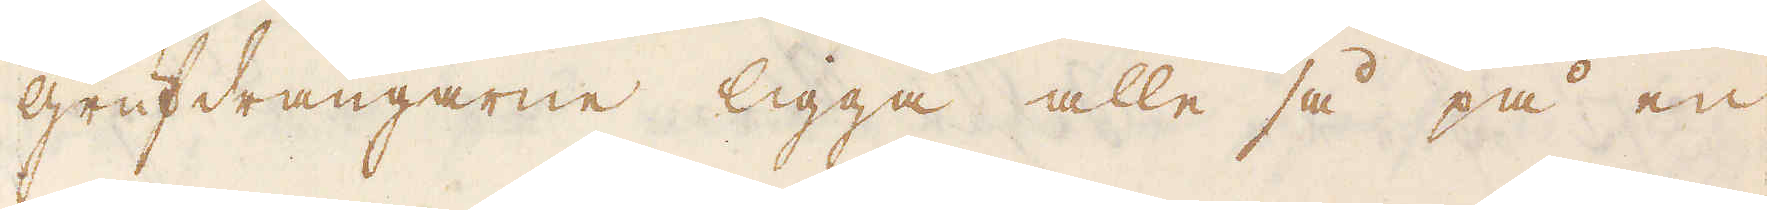grufdrängarne ligga alle så på en
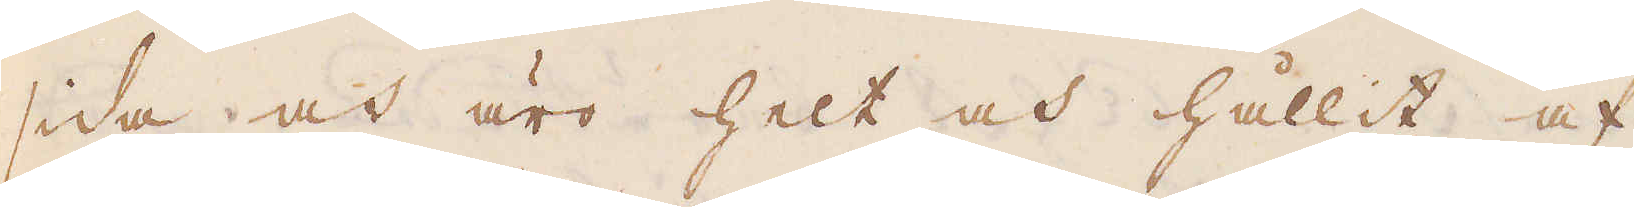sida och äro helt och hållit af
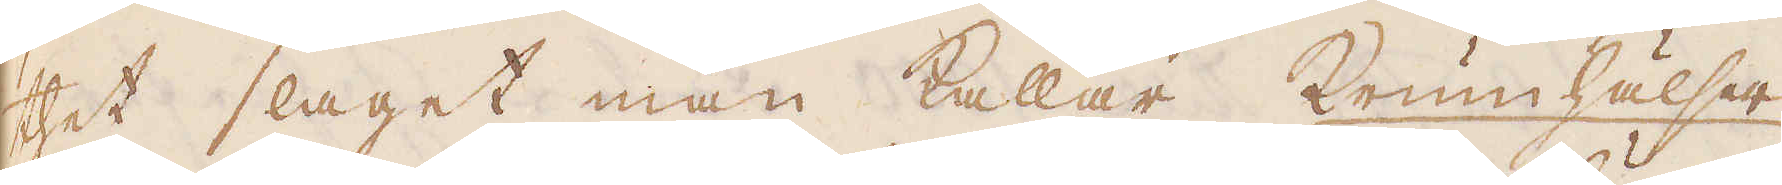thet slaget man kallar Krumhälser
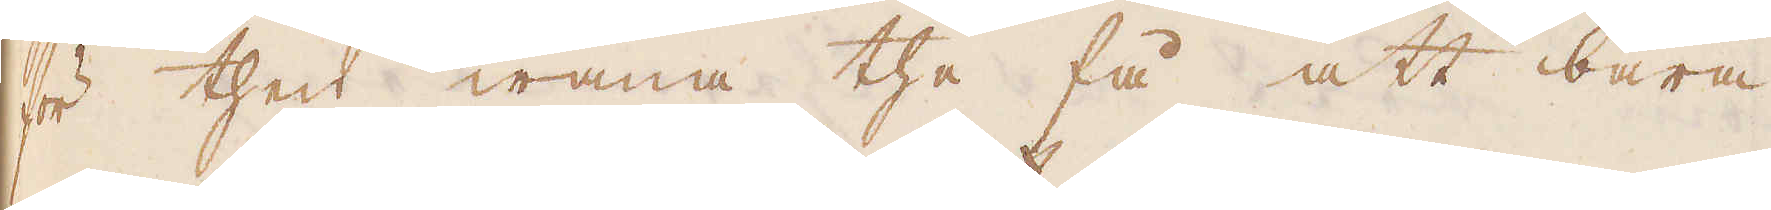för then wana the få att bära
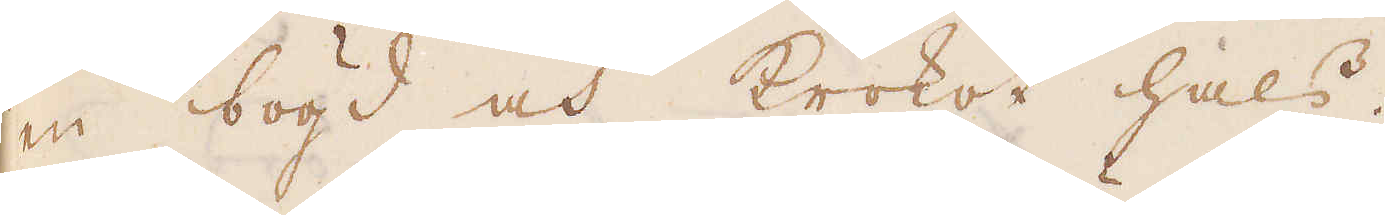en bögd och krokot hals.
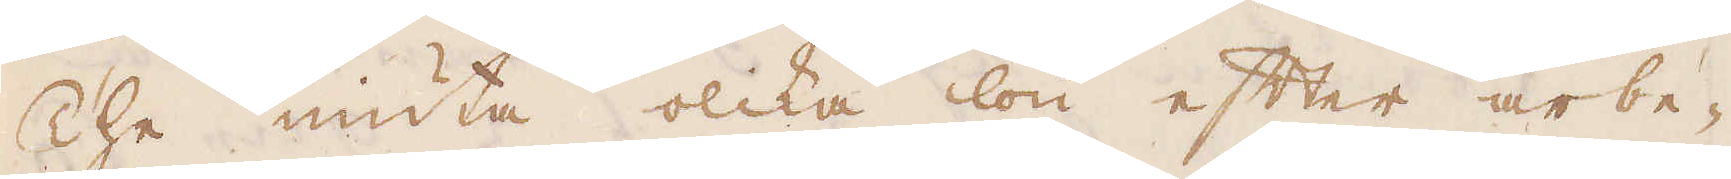The niuta olika lön efter arbe-
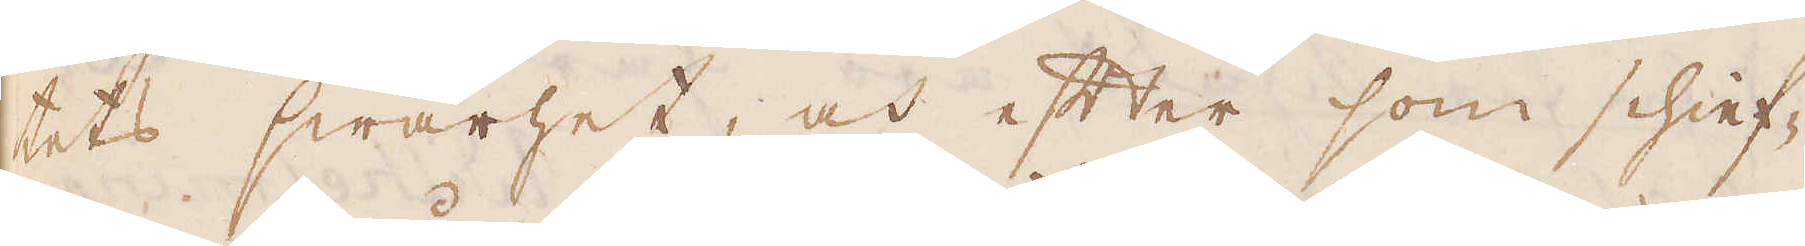tets swårhet, och efter som schief-
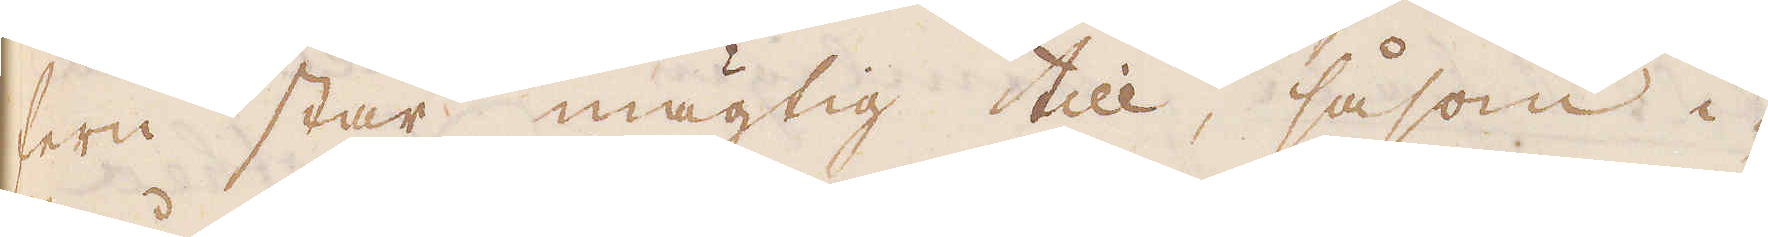fern står mägtig till, såsom i-
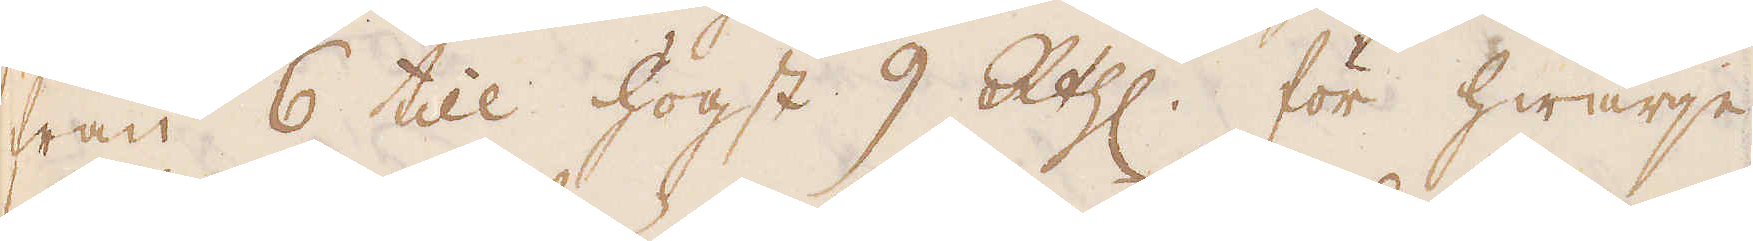från 6 till högst 9 R:thl för hwarje
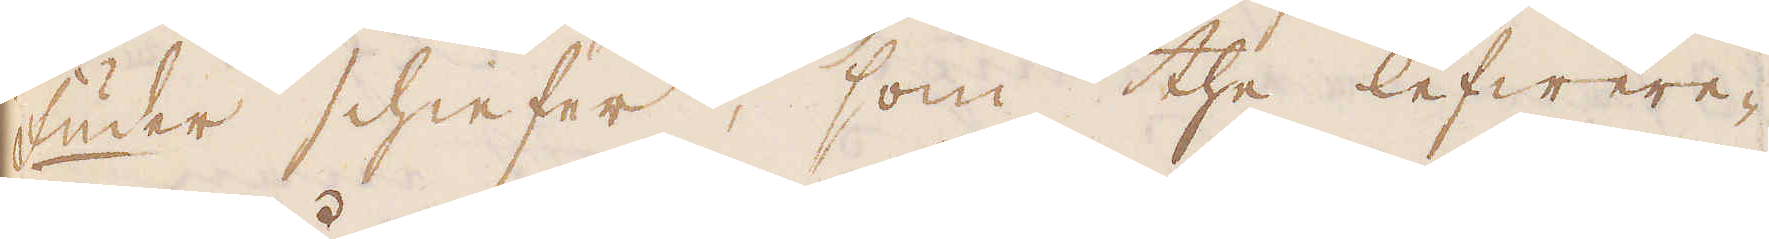Fuder schieffer, som the lefwere-
